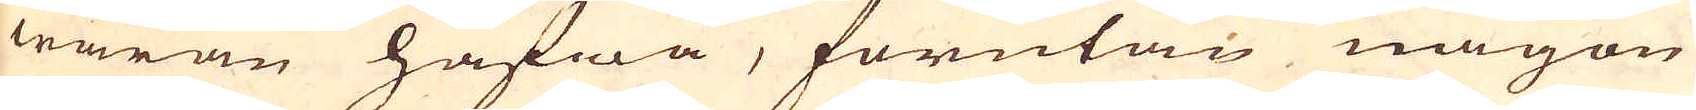waran hafwa, förutan någon
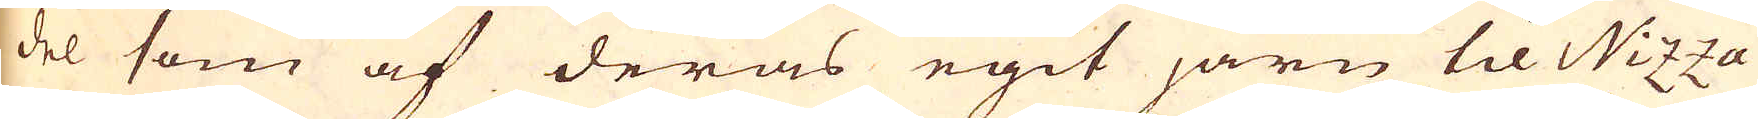del som af deras egit järn til Nizza
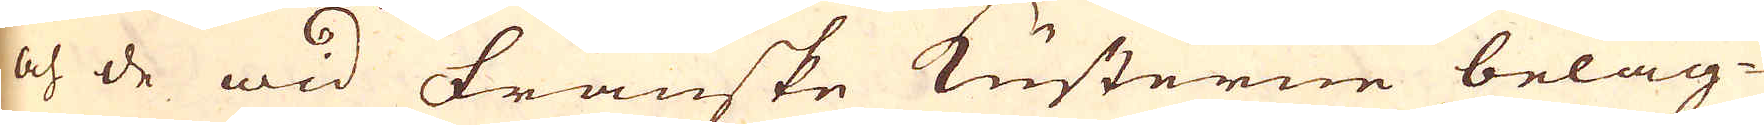och de wid Franske Kusterne beläg-
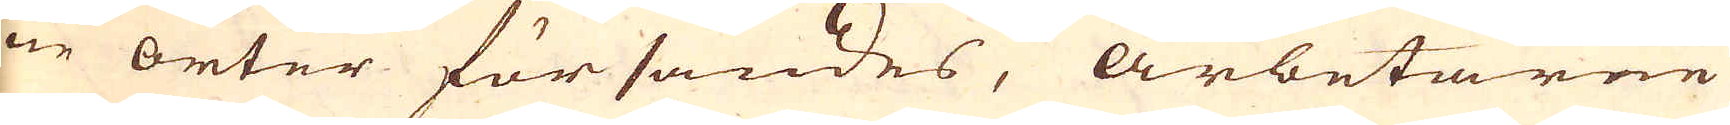ne orter försändes, arbetarne
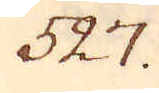527.
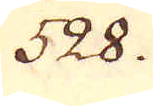528.
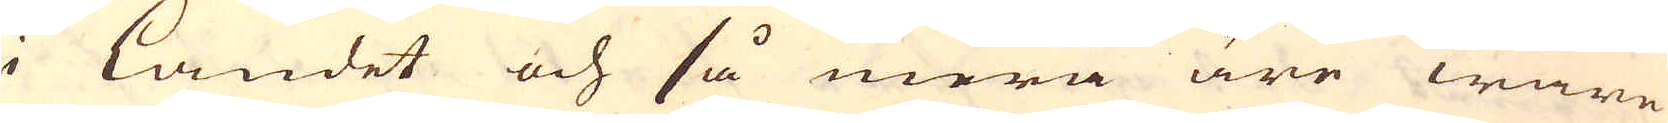i landet och så mera äre wane
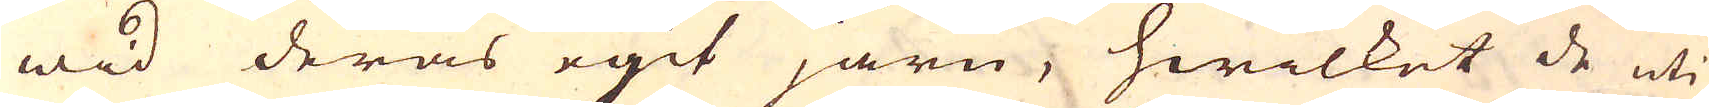wid deras egit järn, hwilket de uti
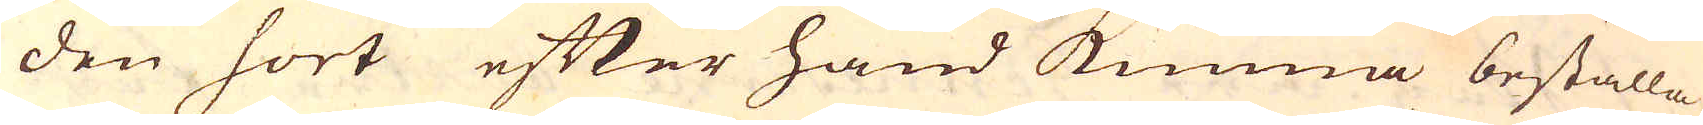den sort efter hand kunna beställa
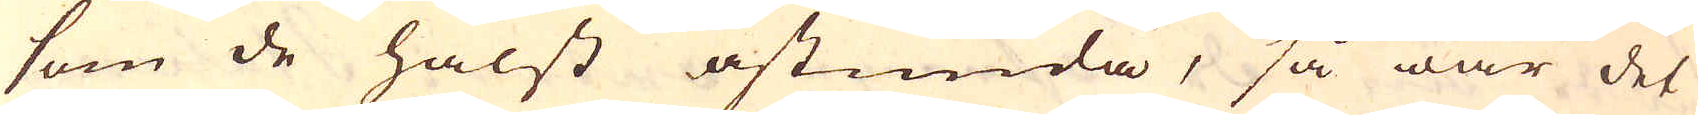som de hälst åstunda, så war det
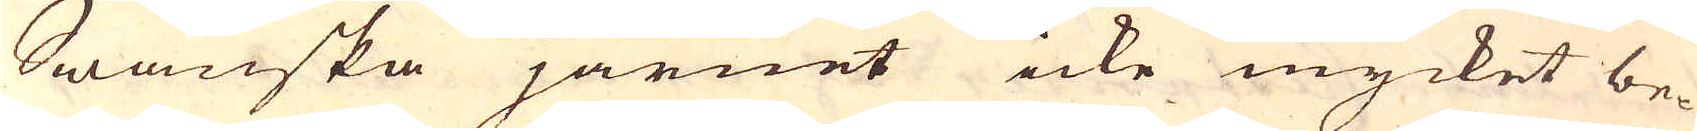Swänska järnet icke mycket be-
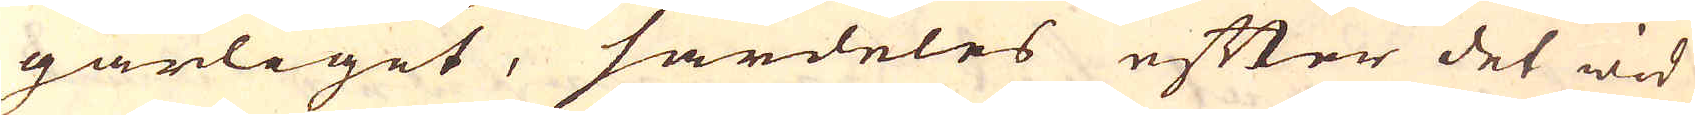gärliget, särdeles efter det wid
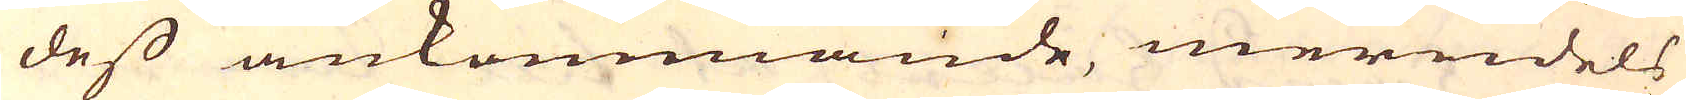dess ankommande, merndels
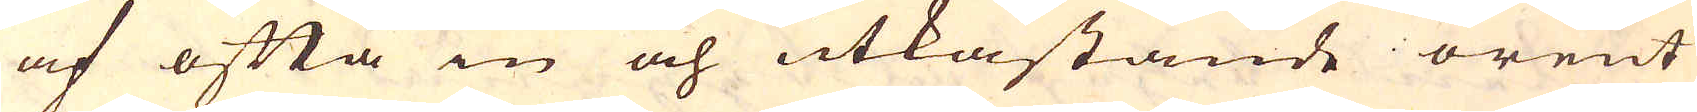af ofta in och utkastande orent
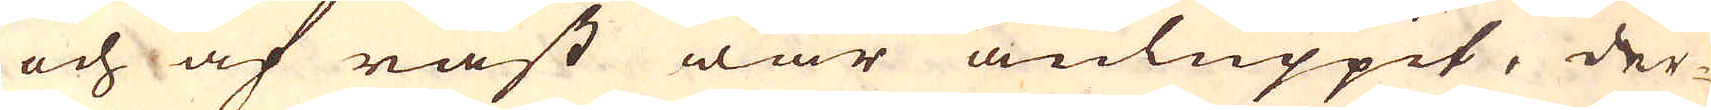och af råst war anluppit, der-
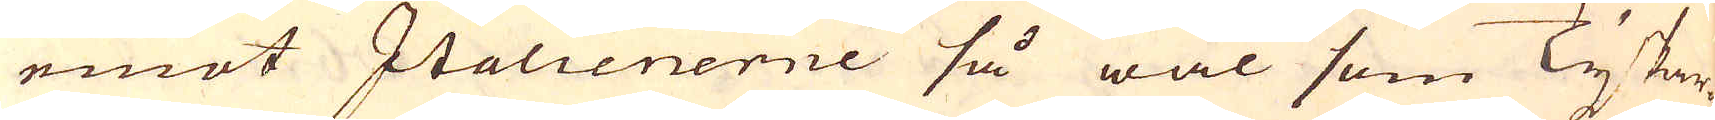emot Italienerne så wäl som Tyskar-
